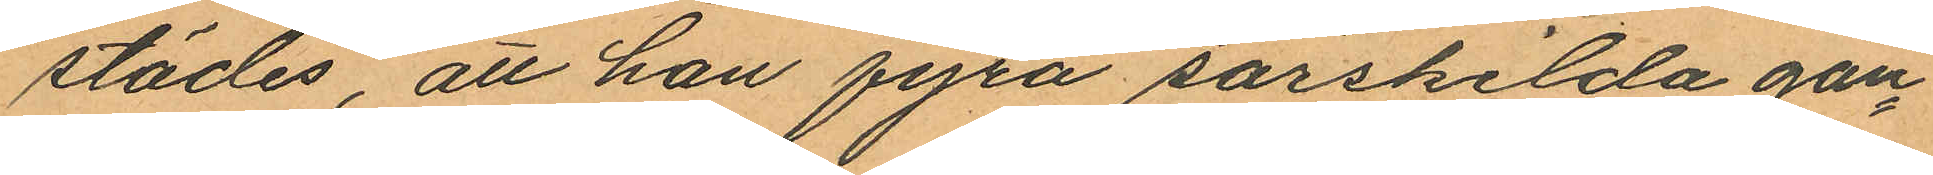städes, att han fyra särskilda gån¬
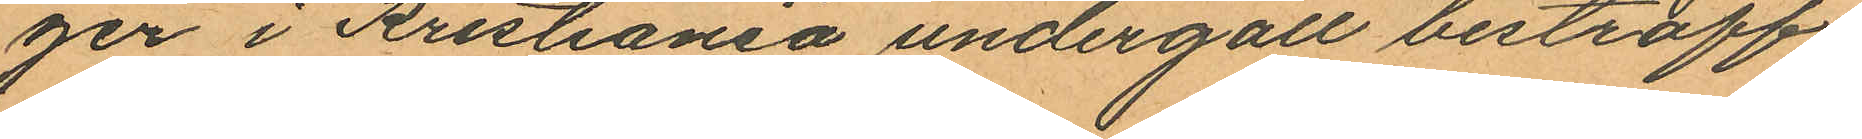ger i Kristiania undergått bestraff¬
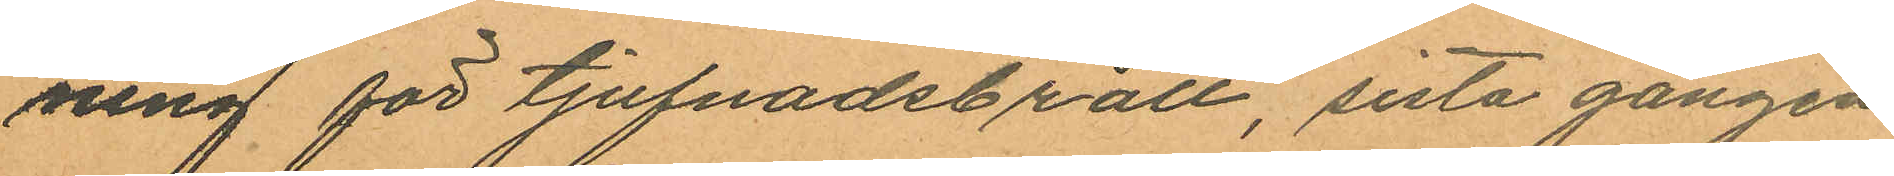ning för tjufnadsbrott, sista gången
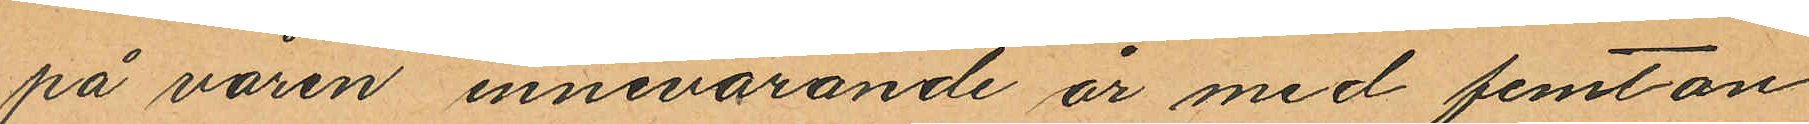på våren innevarande år med femton
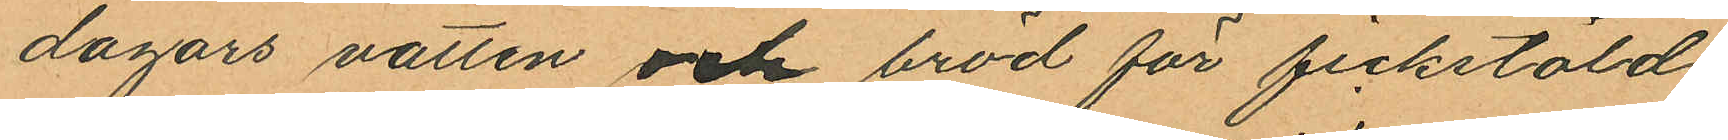dagars vatten och bröd för fickstöld;
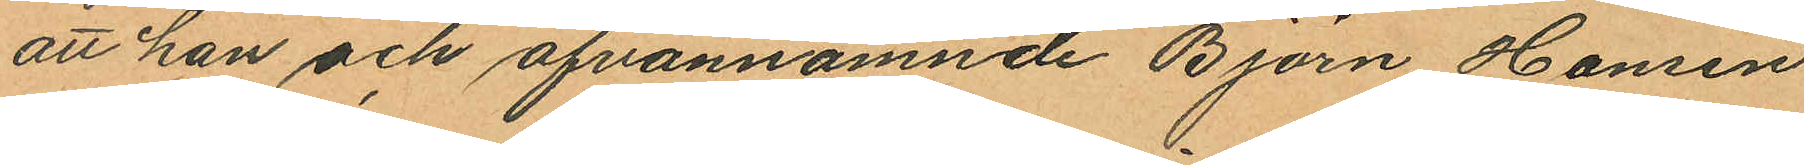att han och ofvannämnde Björn Hansen
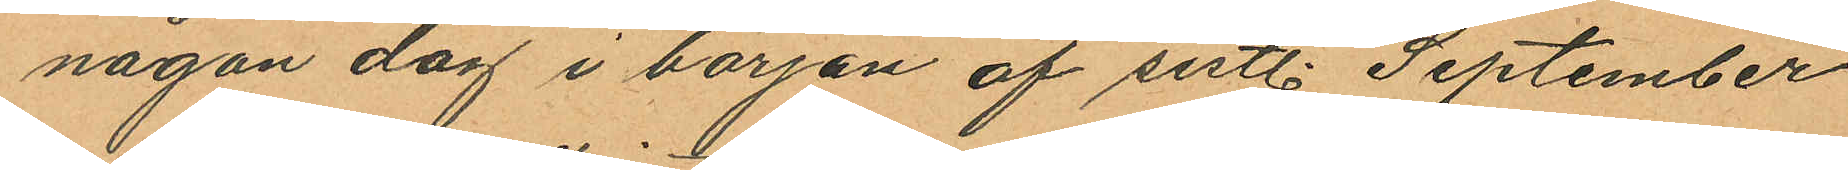någon dag i början af sistl. September
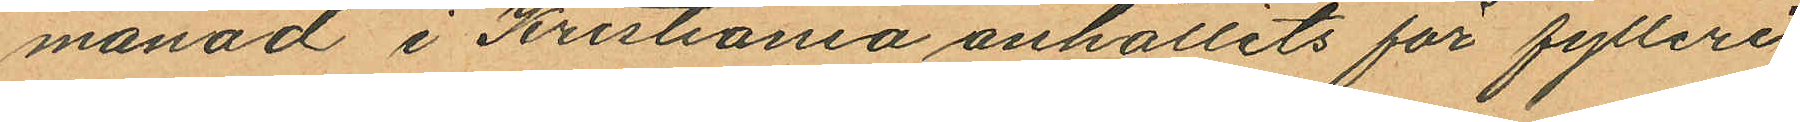månad i Kristiania anhållits för fylleri,
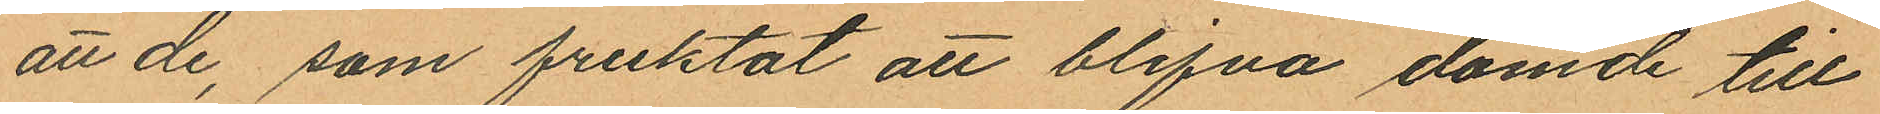att de, som friktat att blifva dömde till
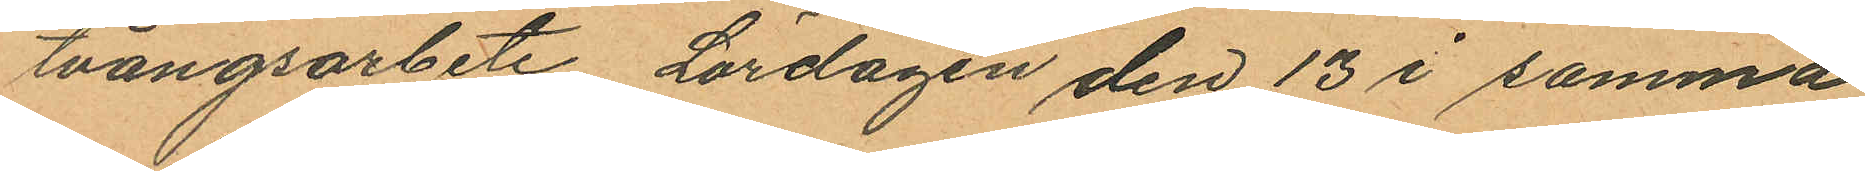tvångsarbete, Lördagen den 13 i samma
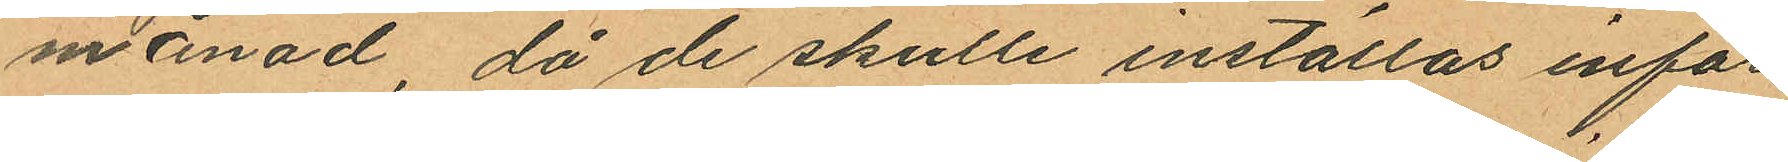månad, då de skulle inställas inför
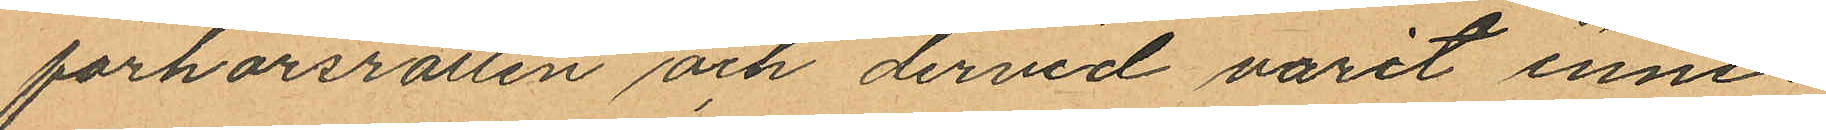förhörsrätten och dervid varit inne¬
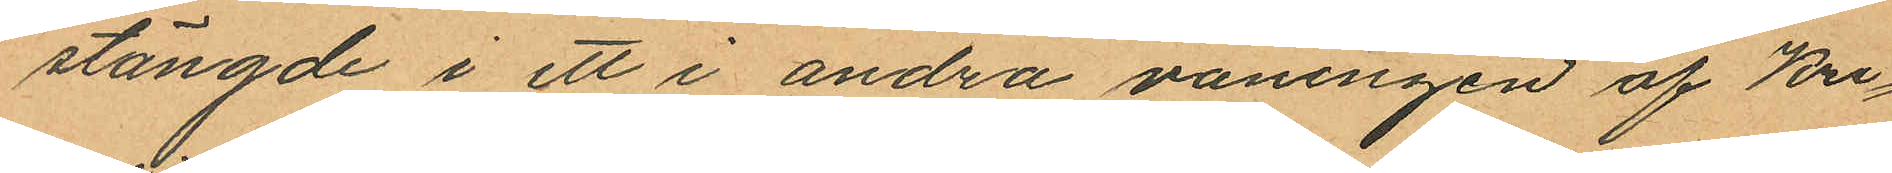stängde i ett i andra våningen af Kri¬
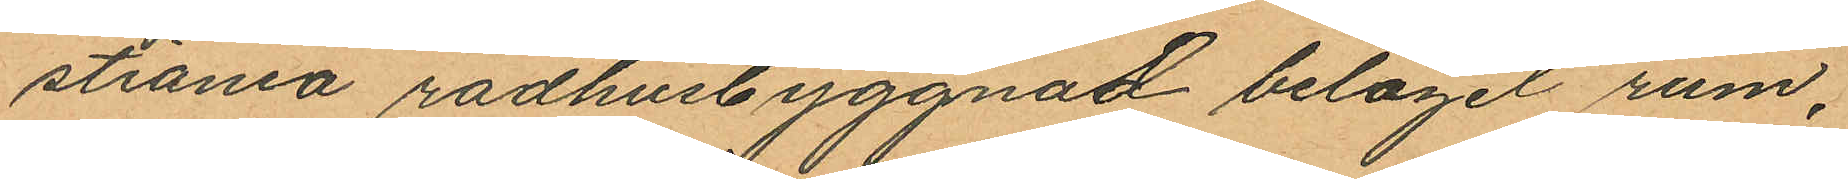stiania radhusbyggnad beläget rum,
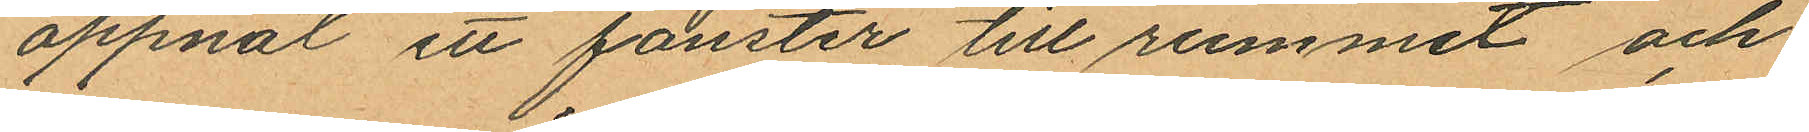öppnat ett fönster till rummet och
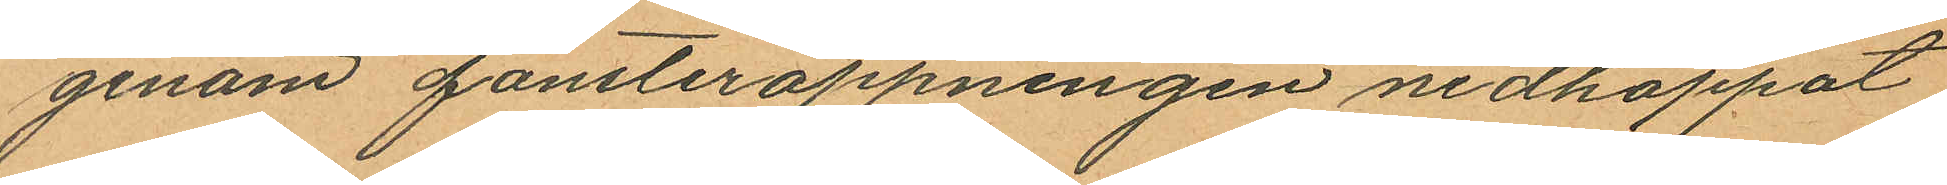genom fönsteröppningen nedhoppat
